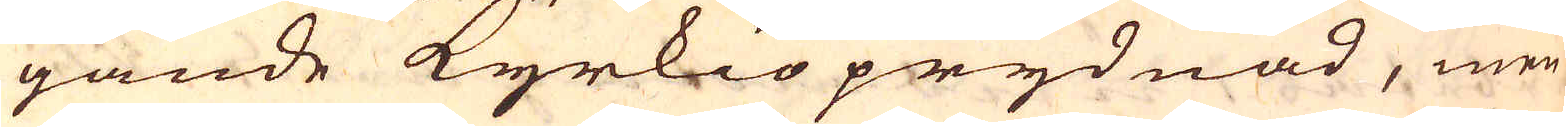gande Kyrkioprydnad, men
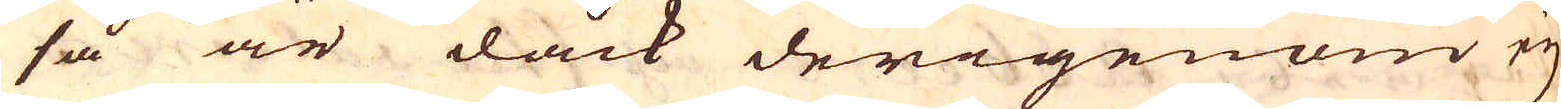så är dåck derigenom ej
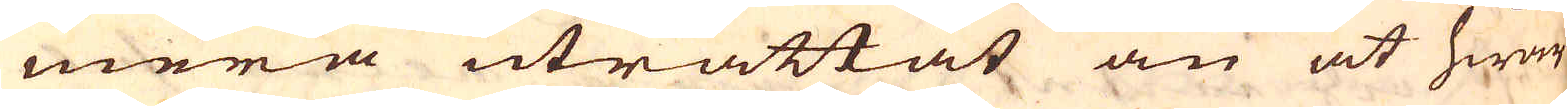mera uträttat än at hwar
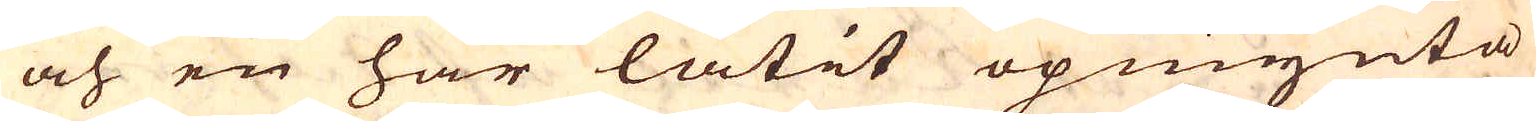och en har låtit opmynta
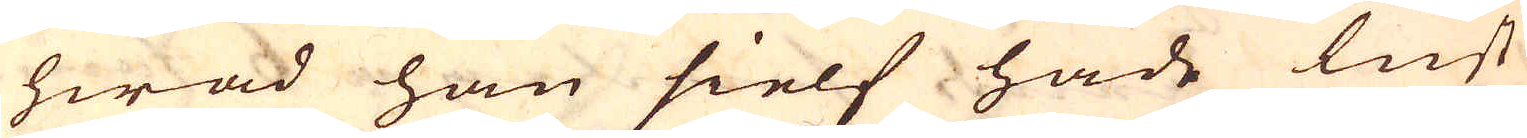hwad han sielf hade lust
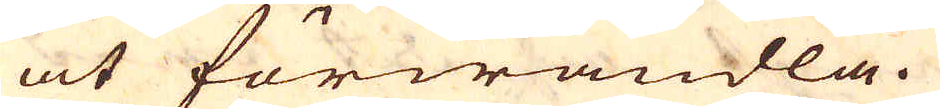at förwandla.
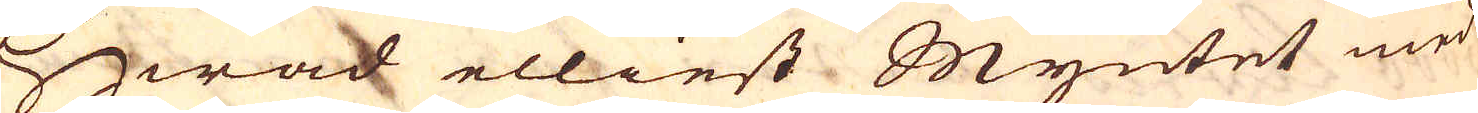Hwad elliest Myntet med
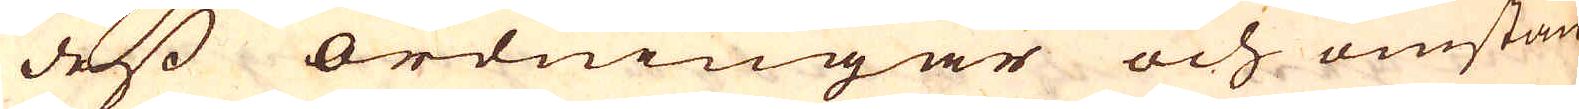dess ordningar och omstän-
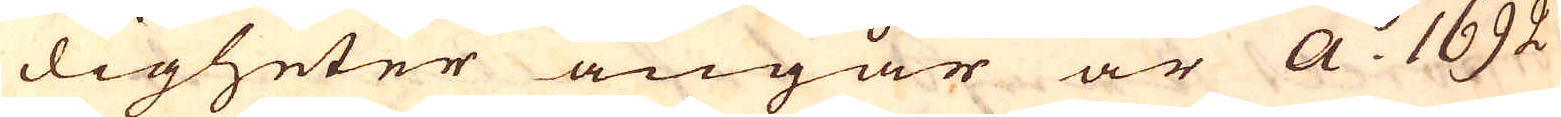digheter angår är A:o 1692
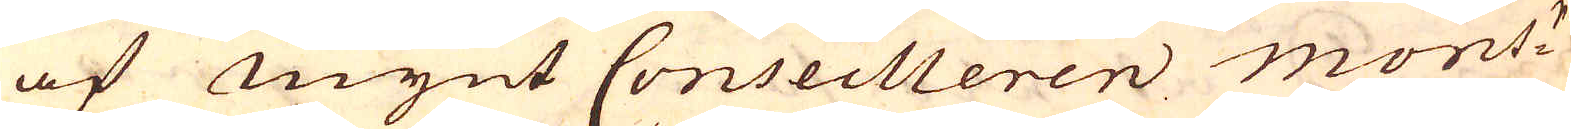af mynt Conseilleren mons:r
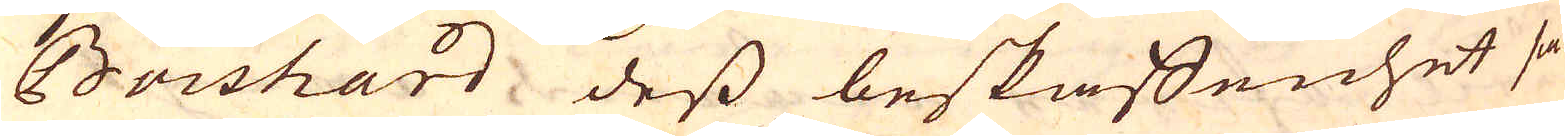Boishard, dess beskaffenhet så
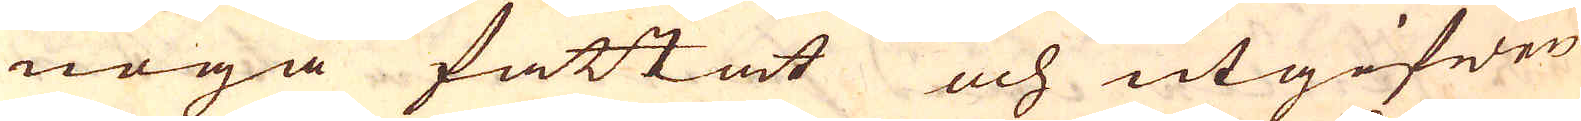noga fattat och utgifwen
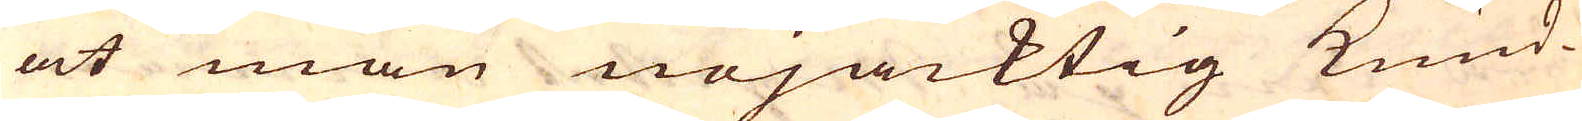at man nöjacktig kund-
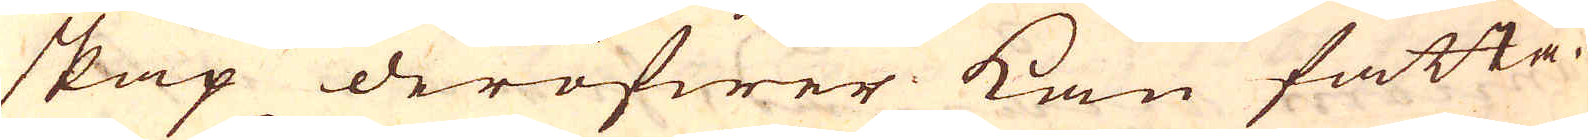skap deröfwer kan fatta.
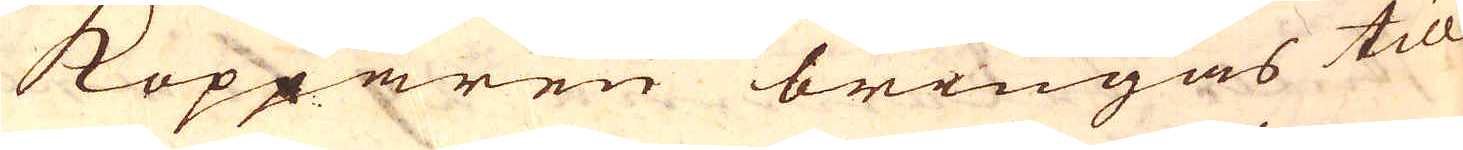Kopparen bringas till
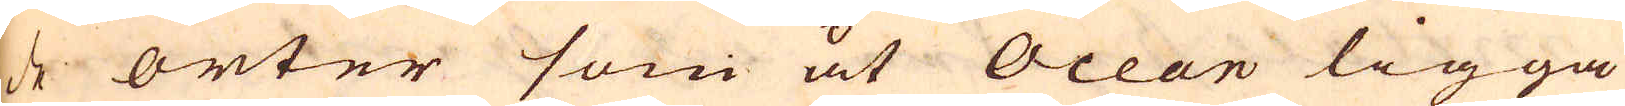de orter som at Ocean ligga
